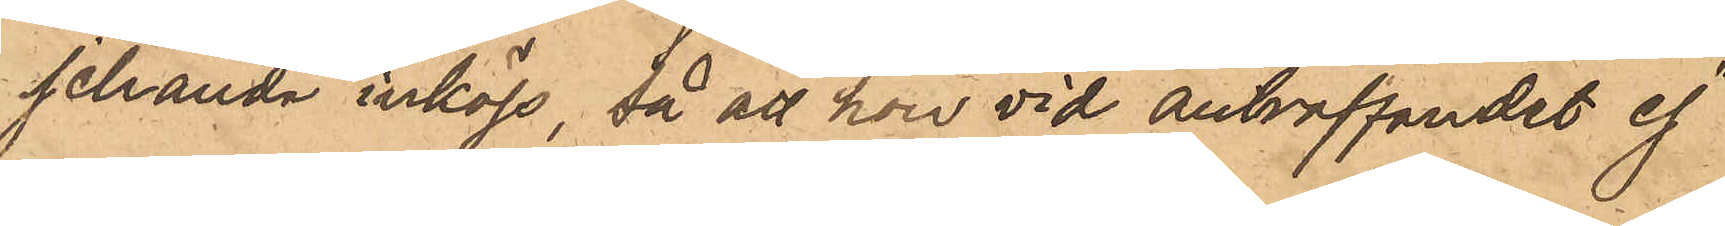jehanda inköp, då att hon vid anträffandet ej
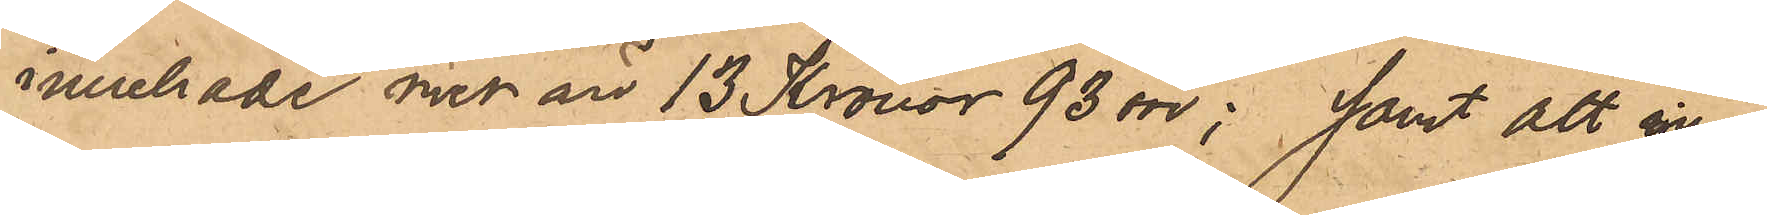innehade med än 13 Kronor 93 öre; samt att in¬
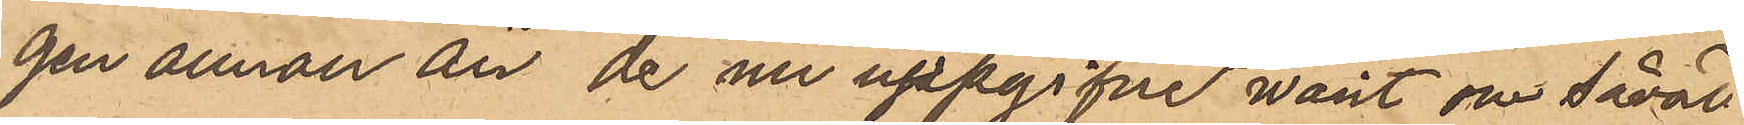gen annan än de nu uppgifne varit om såväl
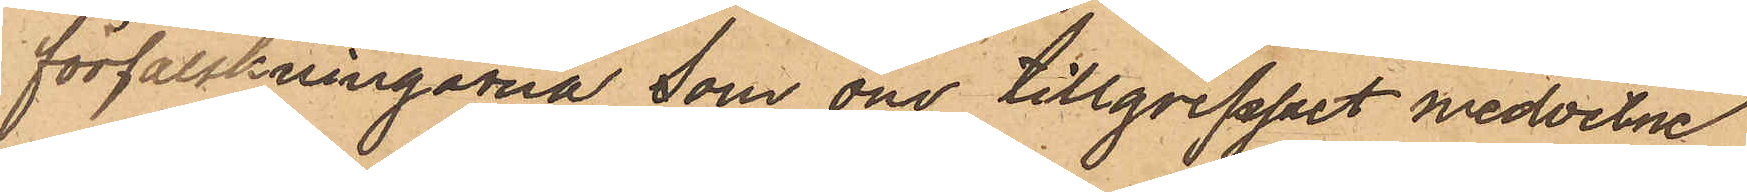förfalskningarna som om tillgreppet medvetne
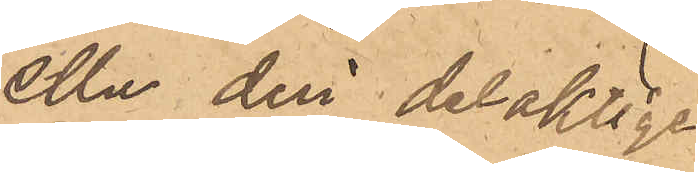eller deri delaktige.
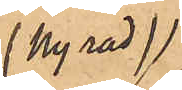(Ny rad)
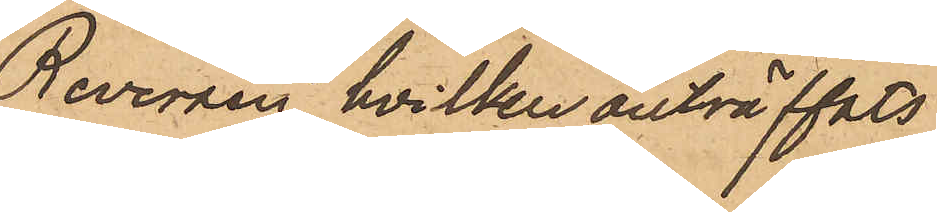Reversen, hvilken anträffats
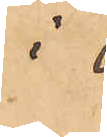i
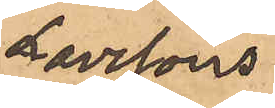Larssons
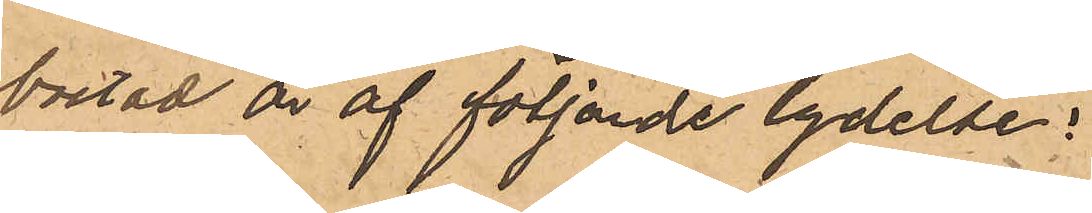bostad är af följande lydelse;
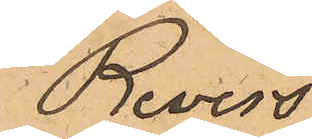Revers
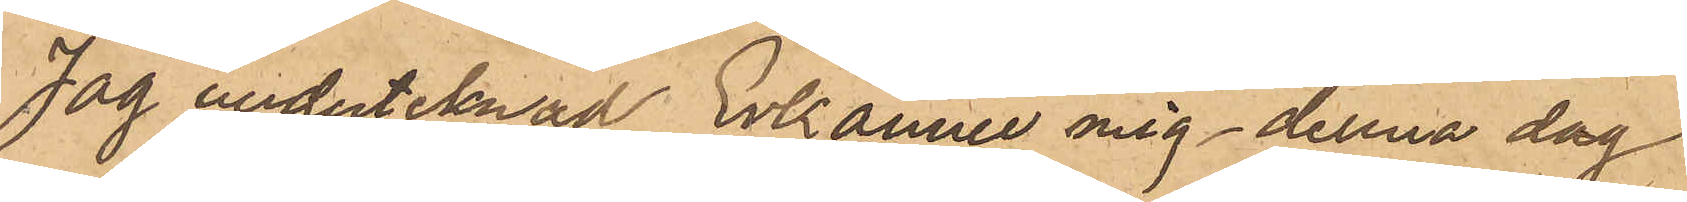jag underteknad Enkänner mig denna dag
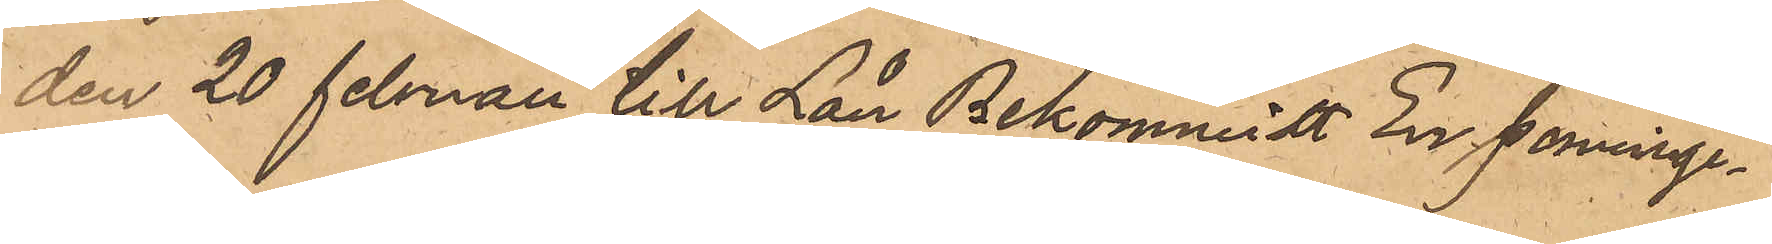den 20 Februari till Lån Bekommitt En penninge¬
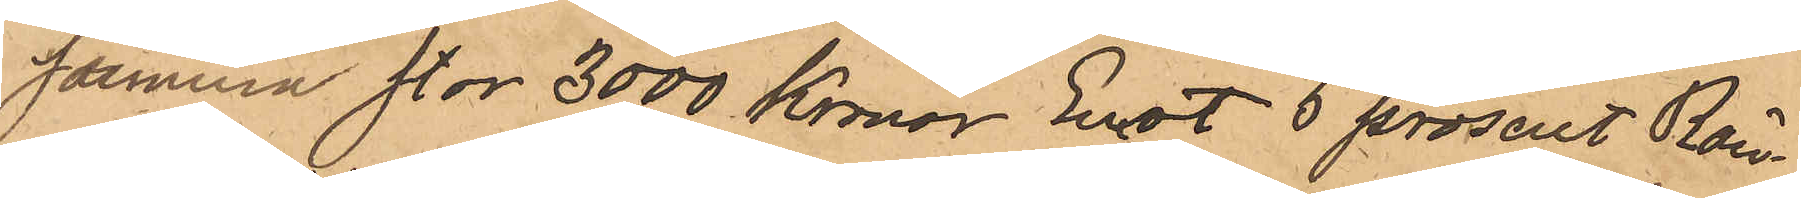summa stor 3000 Kronor Emot 5 prosent Rän¬
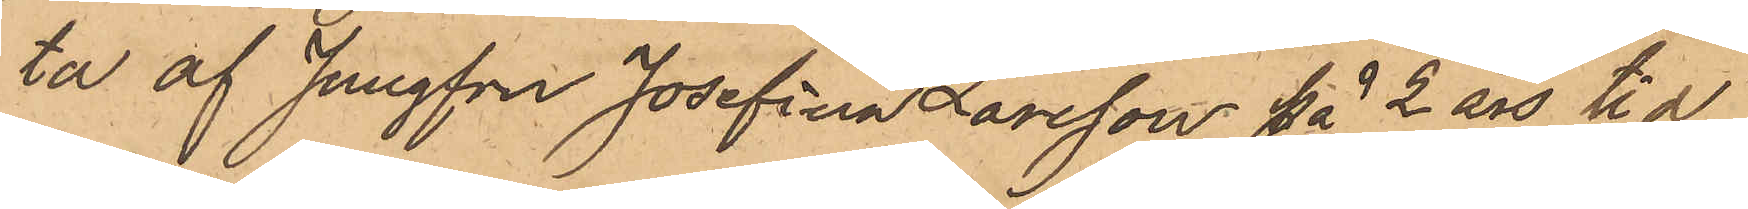ta af Jungfru Josefina Larsson på 2 års tid
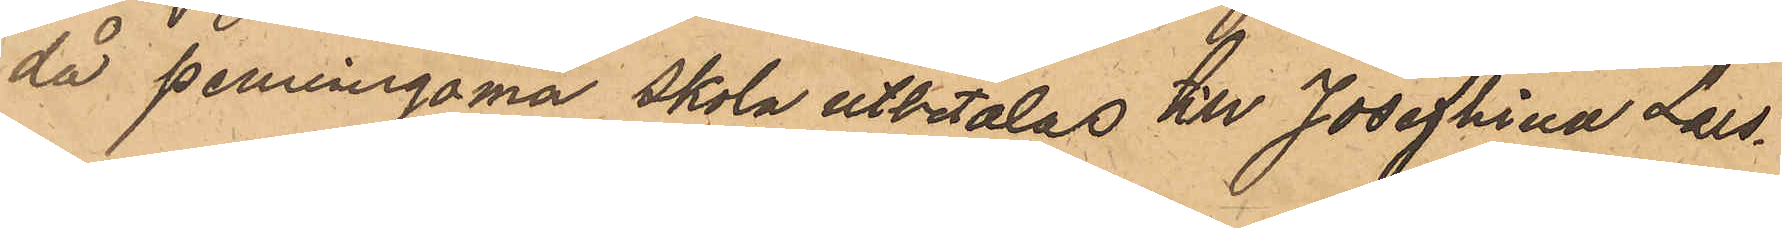då penningarna skola utbetalas till Josefhina Lars¬
